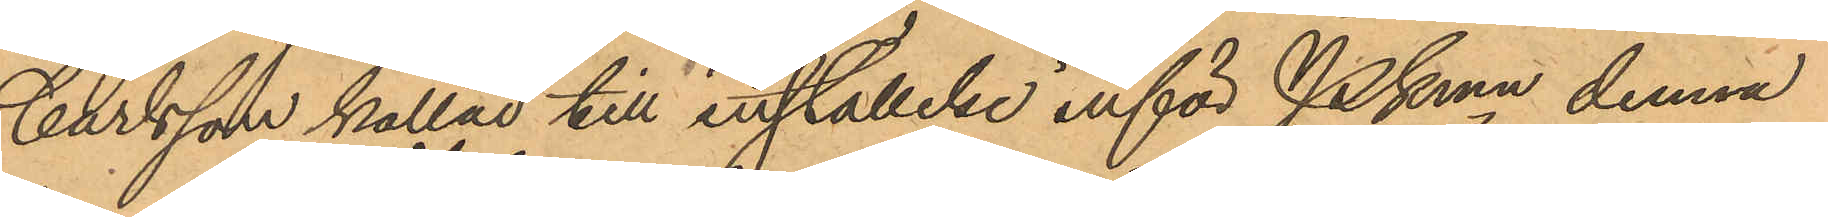Carlsson kallad till inställelse inför PKmn denna
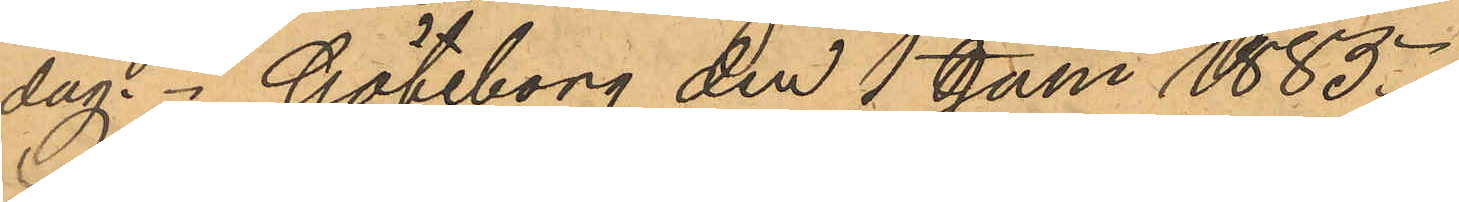dag. Göteborg den 1 Juni 1885.
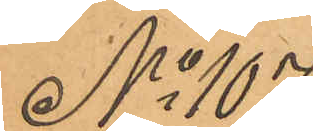No 107
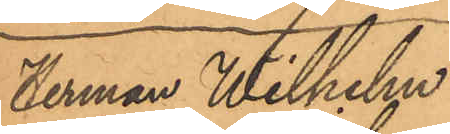Herman Wilhelm
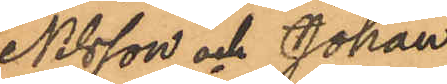Nilsson och Johan
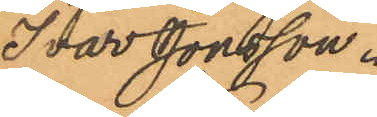Ivar Jonsson.
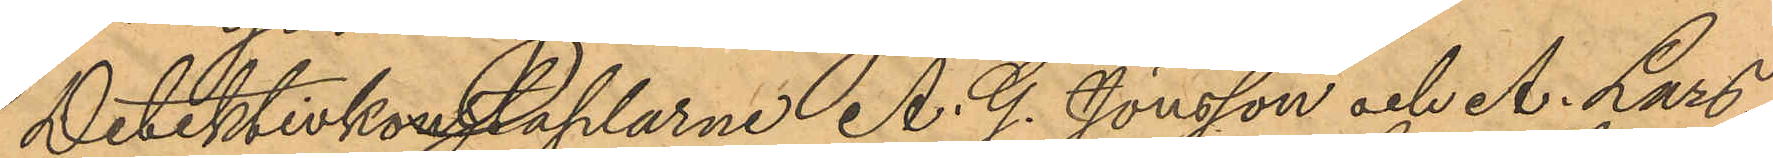Detektivkonstaplarne A. G. Jönsson och A. Lars¬
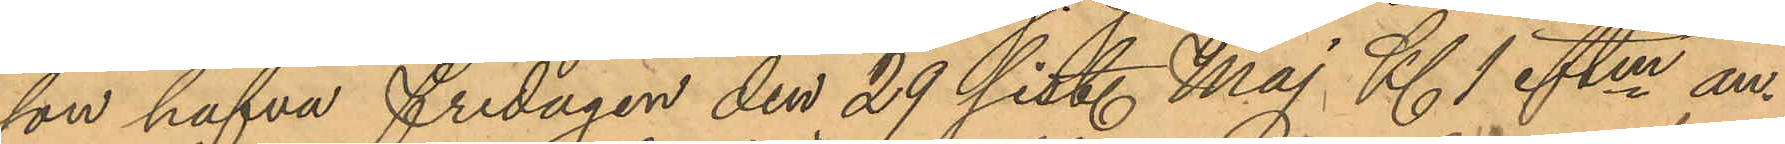son hafva fredagen den 29 sist. Maj Kl. 1 eftm an¬
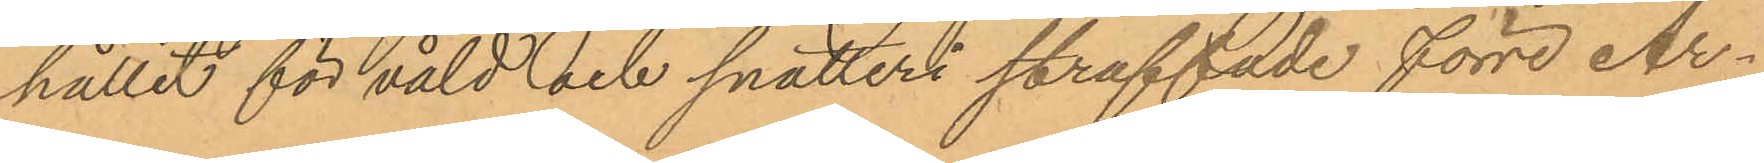hållit för våld och snatteri straffade förre Ar¬
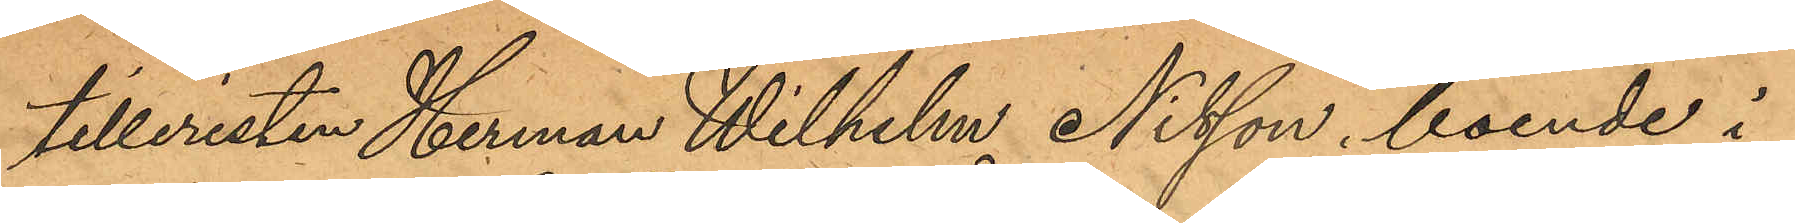tilleristen Herman Wilhelm Nilsson, boende i
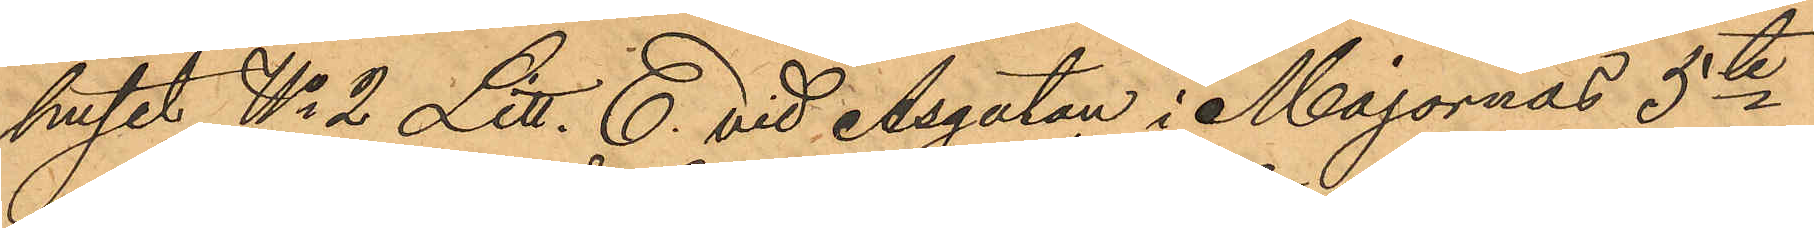huset No 2 Litt. E. vid Åsgatan i Majornas 5te
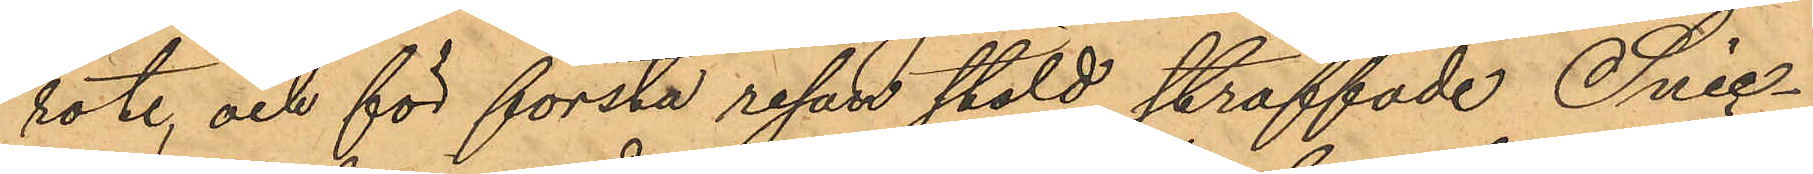rote, och för första resan stöld straffade Snic¬
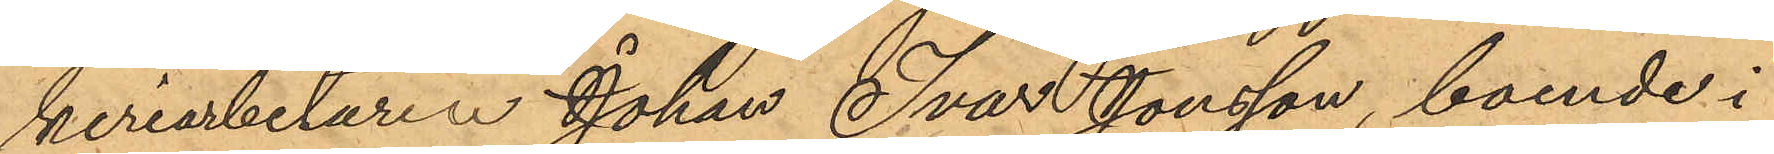keriarbetaren Johan Ivar Jonsson, boende i
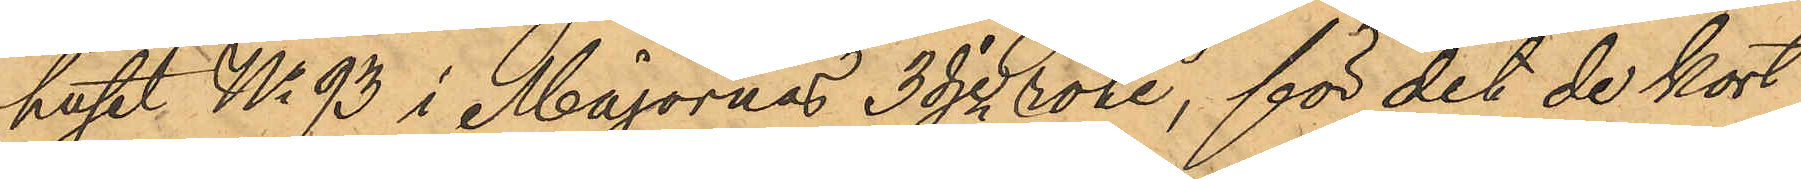huset No 93 i Majornas 3dje rote, för det de kort
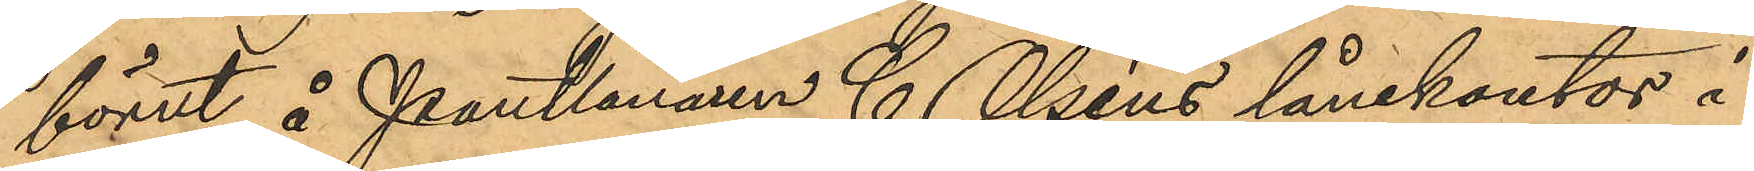förut å Pantlånaren C. Olséns lånekontor i
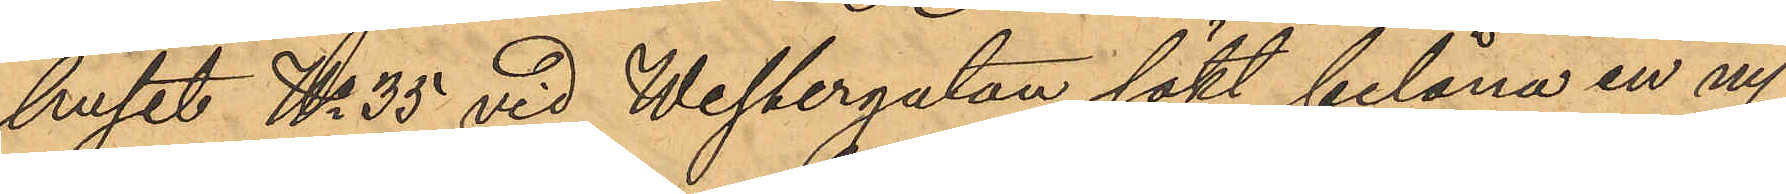huset No 35 vid Westergatan sökt belåna en ny
